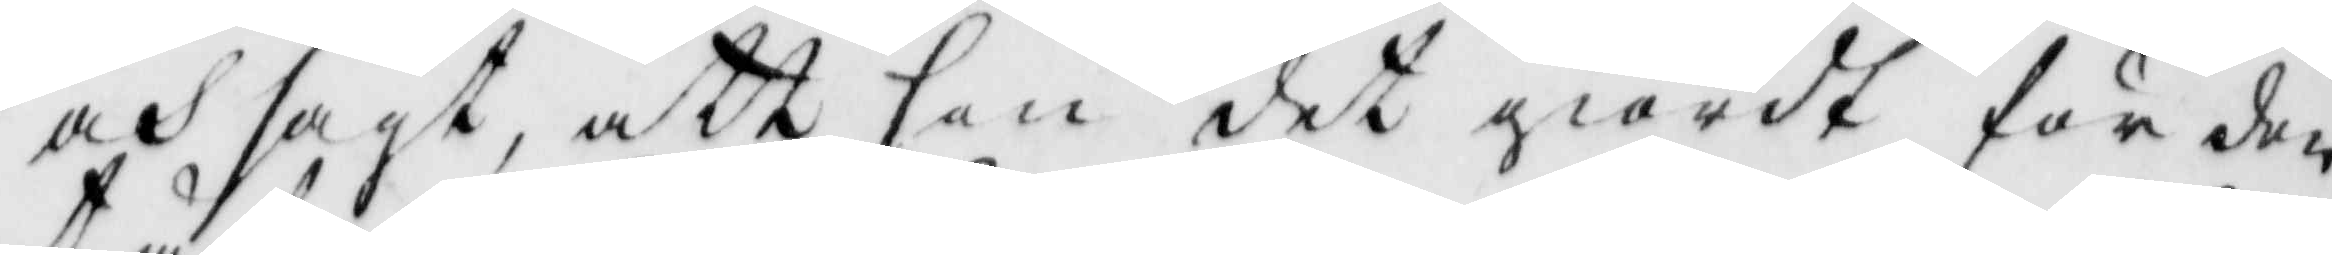och sagt att hon det giordt för den
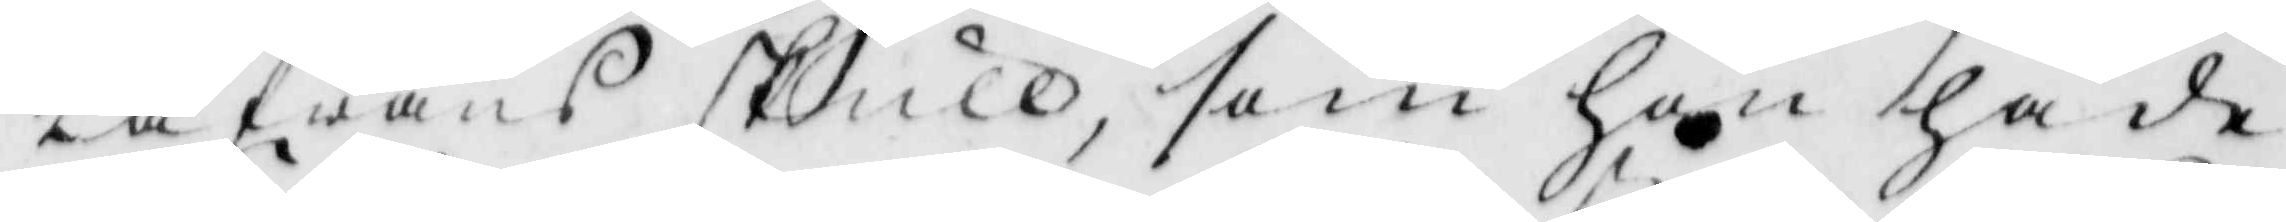tåfwans skull, som hon hade
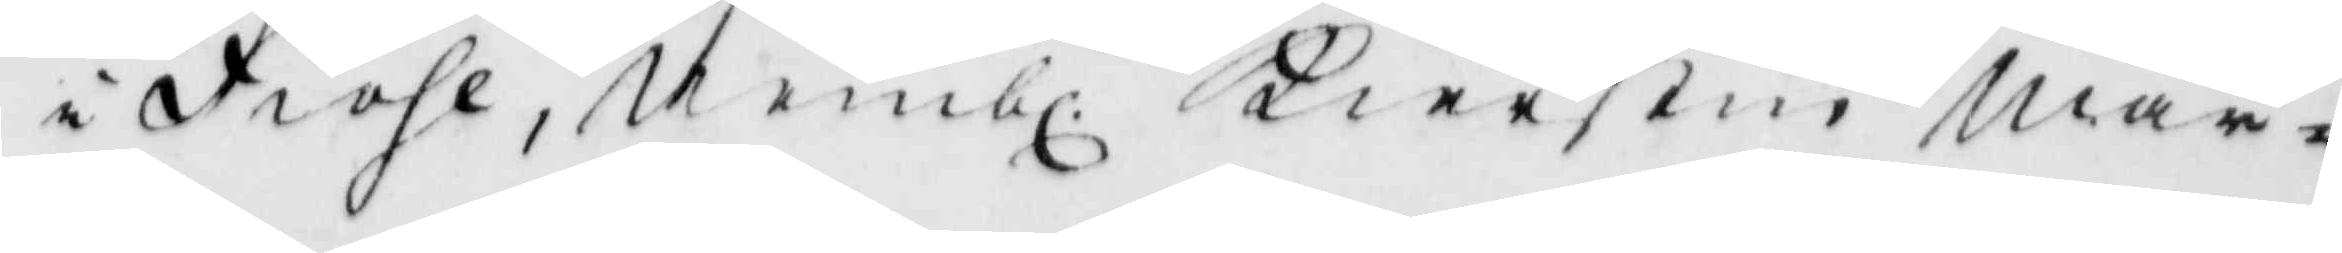i Fiohl, Nembl: Kierstin Mår¬
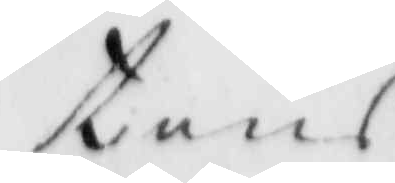tens
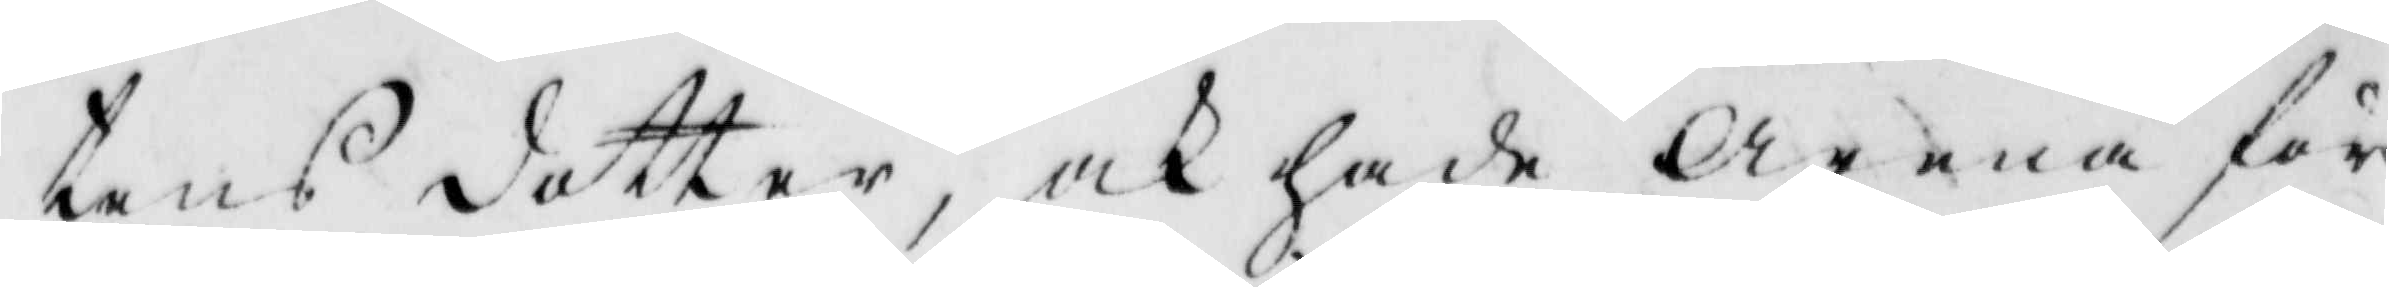tens dotter, och hade Arena för
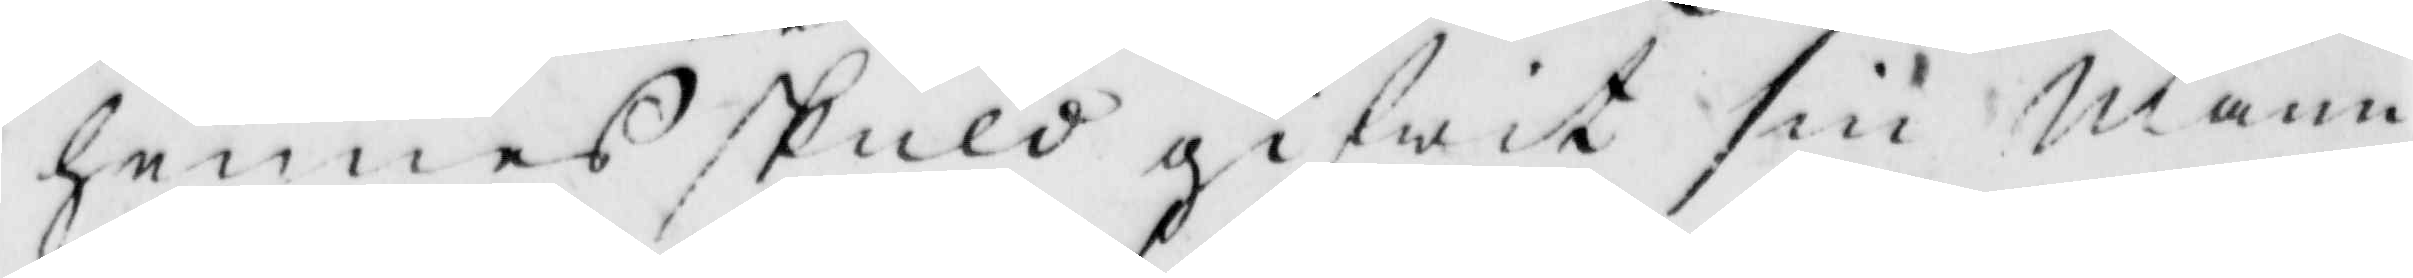hennes skuld gifwit sin Mann
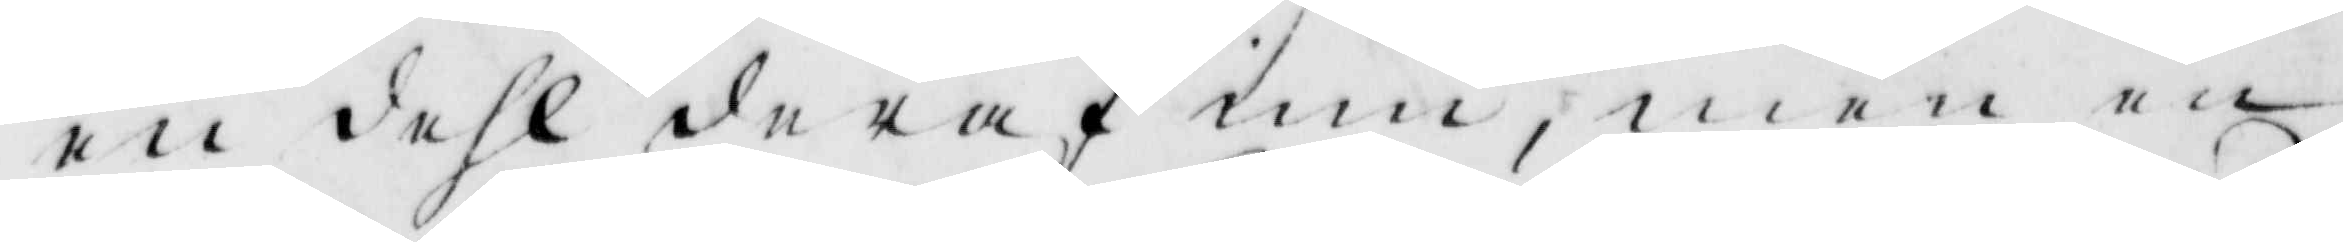en dehl deraf in, men en
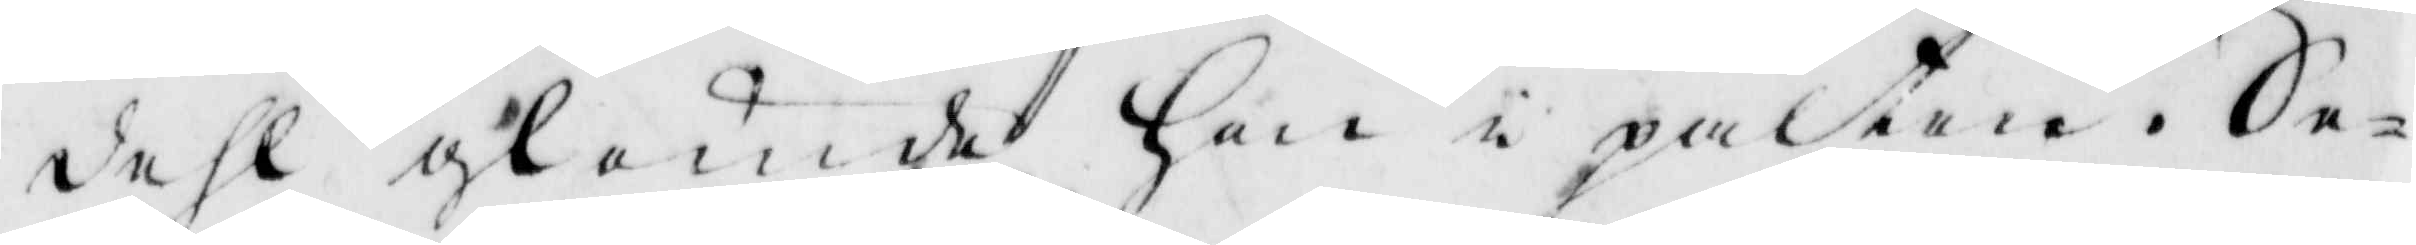dehl glömde hon i palten, Se¬
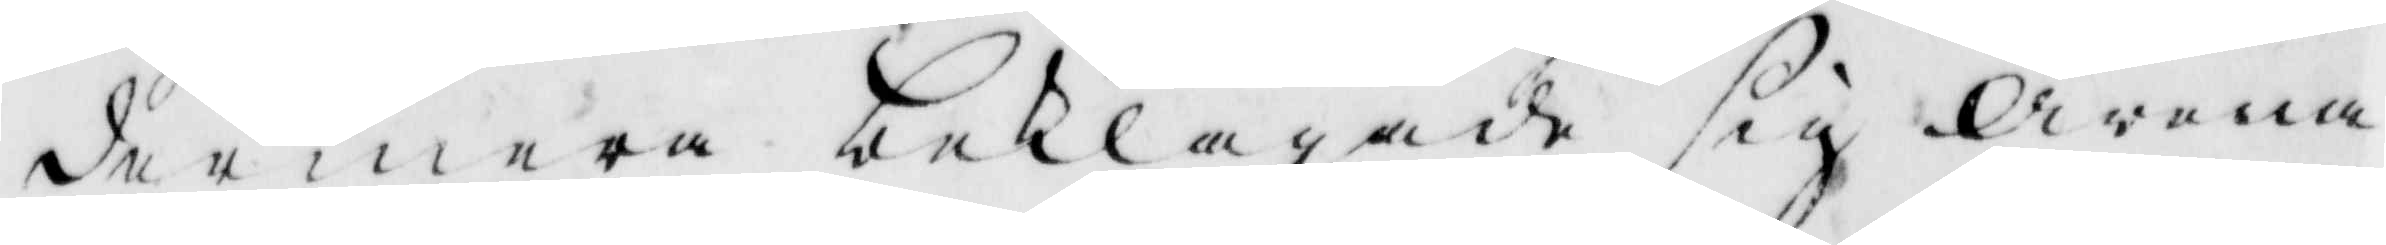dermera beklagade sig Arena
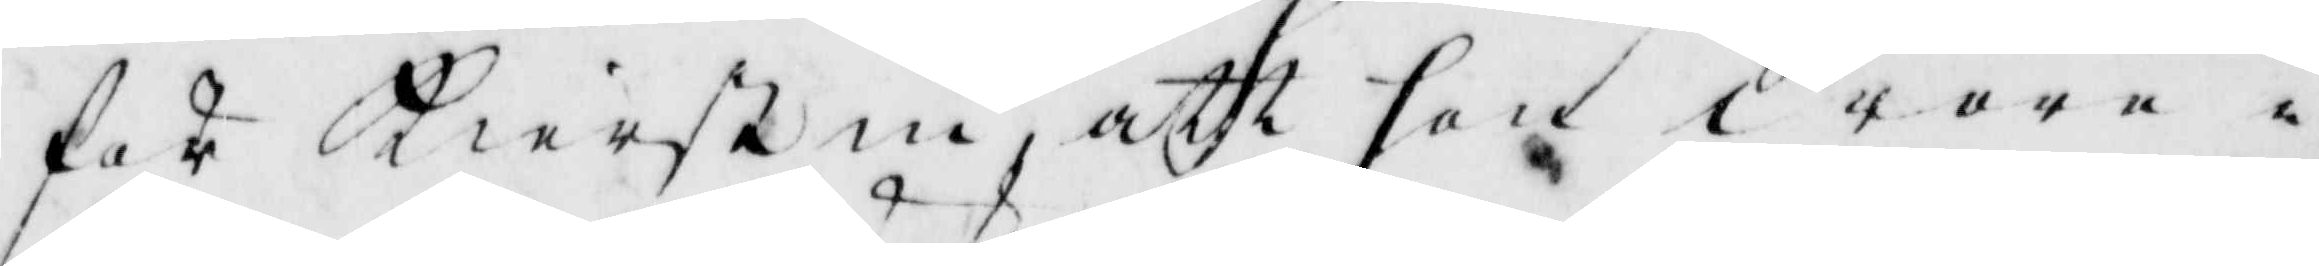för Kierstin, att hon wore i
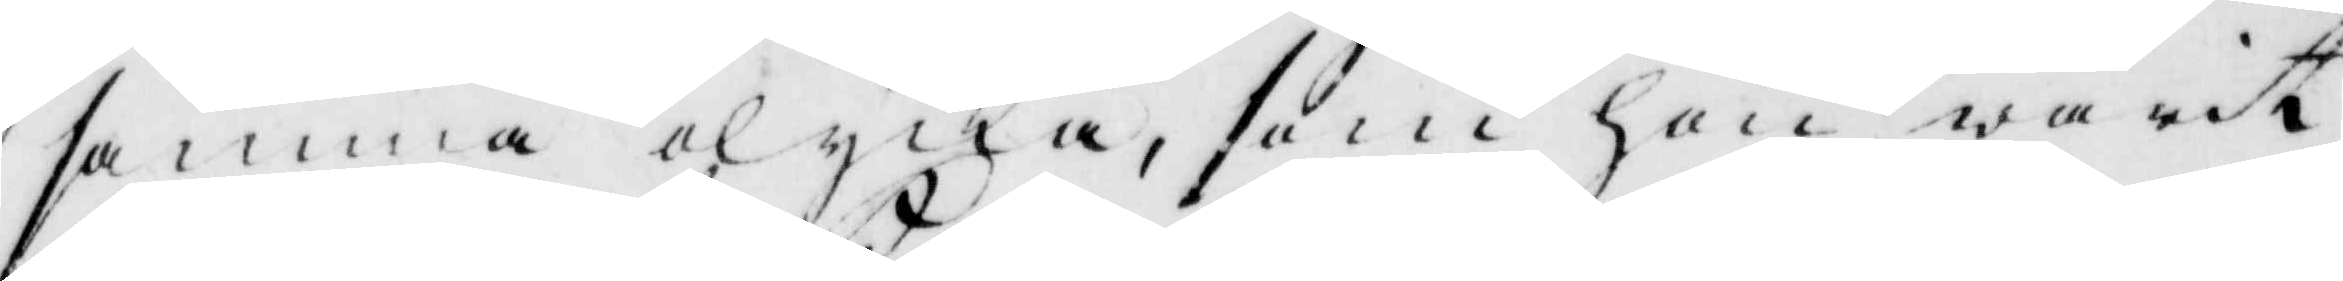samma olycka, som hon warit
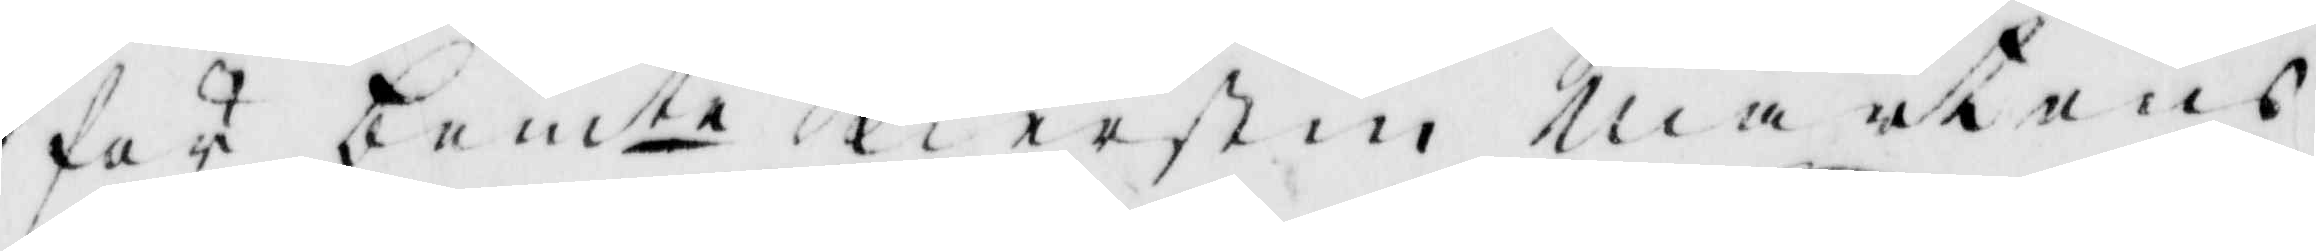för bemte Kierstin Mårtens
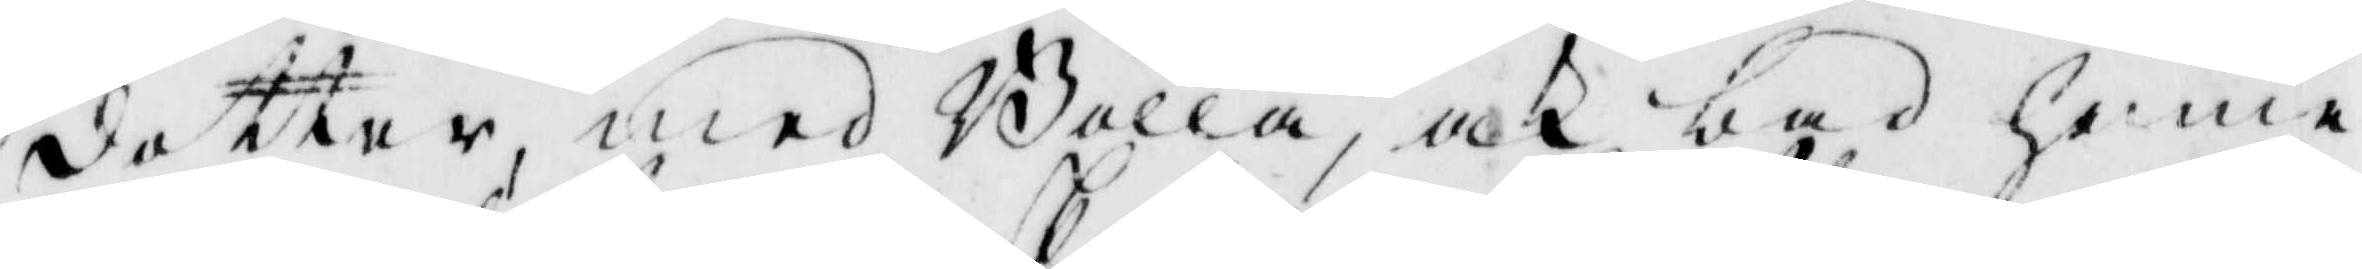dotter, med Bolla, och bad henne
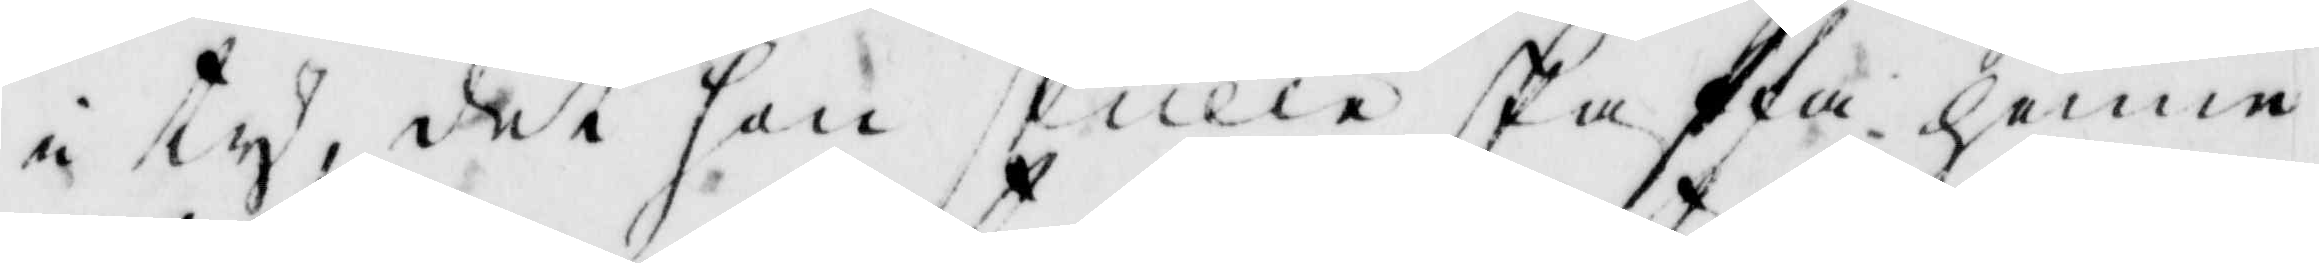i ty, det hon skulle skaffa henne
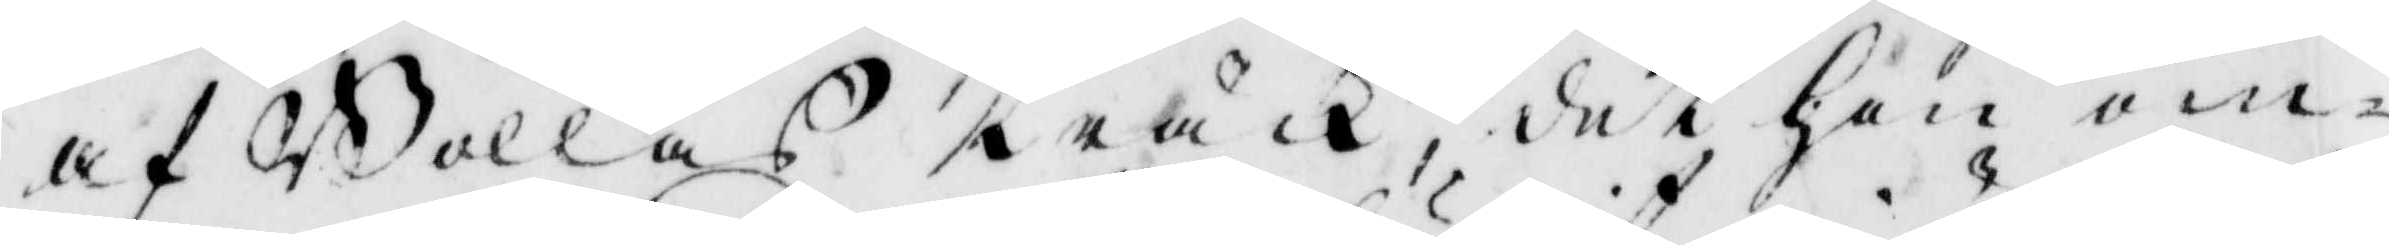af Bollas träck, det hon om¬
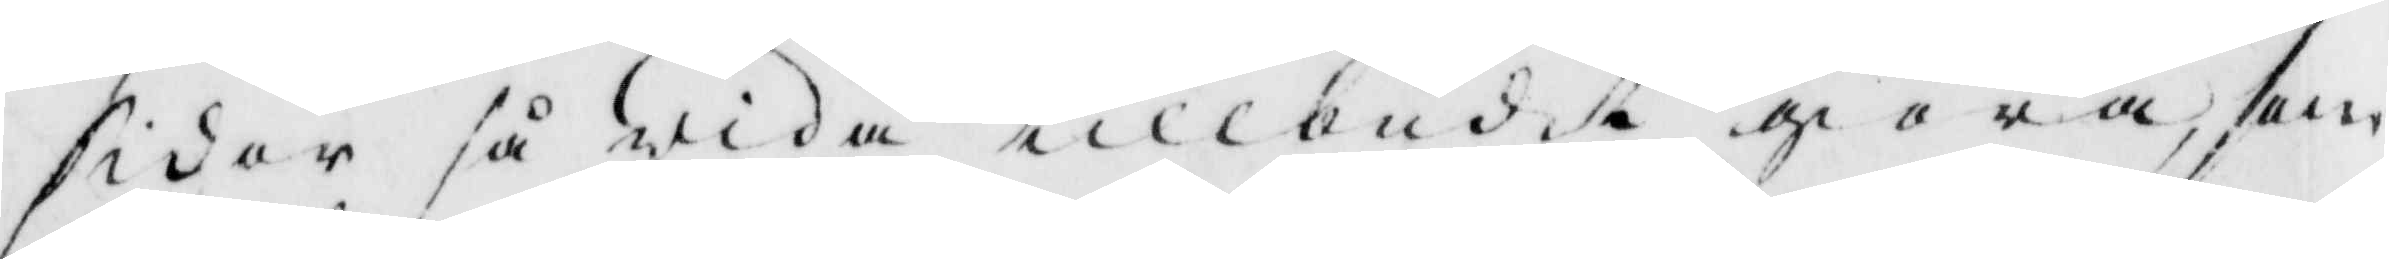sider så wida tillbudit giöra, som
